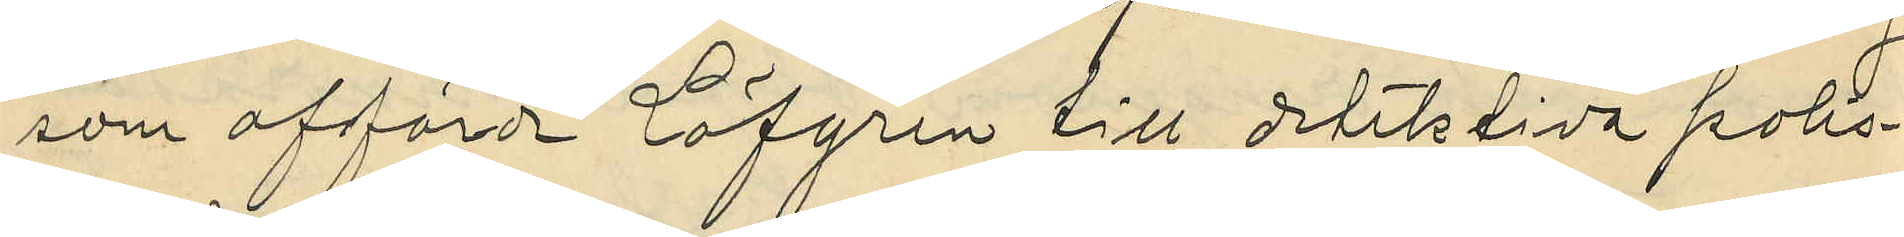som afförde Löfgren till detektiva polis¬
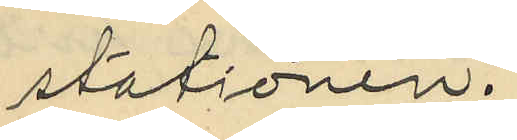stationen.
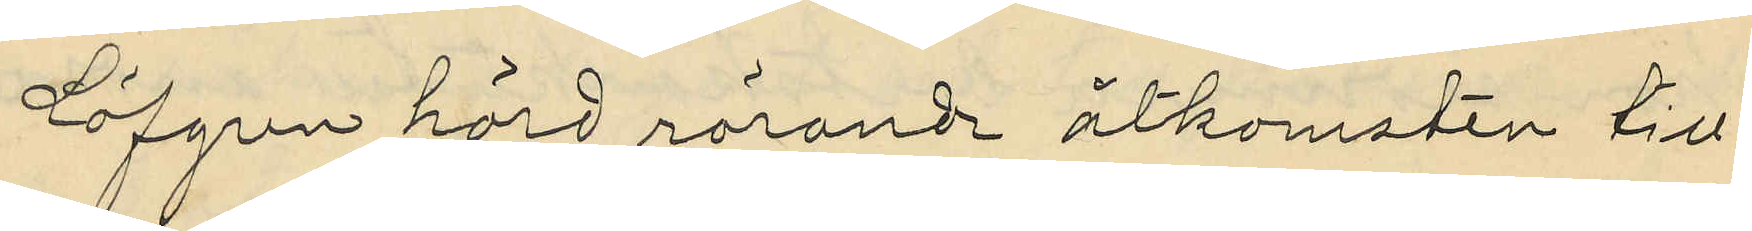Löfgren hörd rörande åtkomsten till
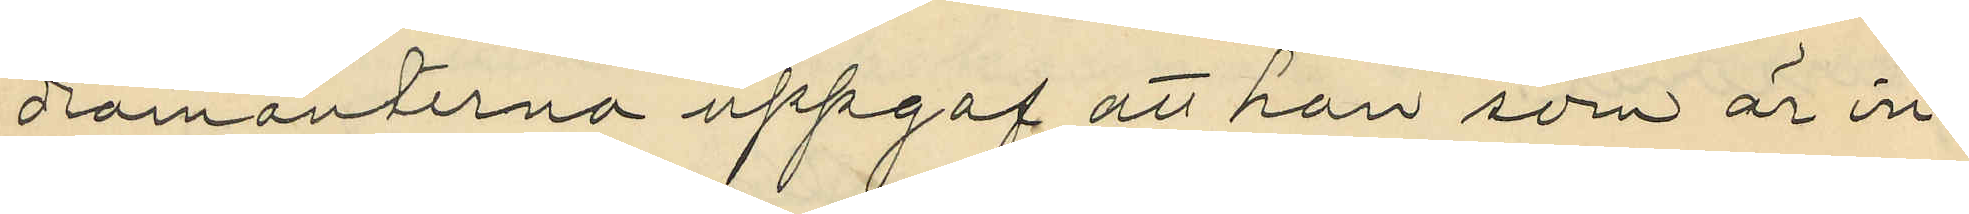diamanterna uppgaf att han som är in¬
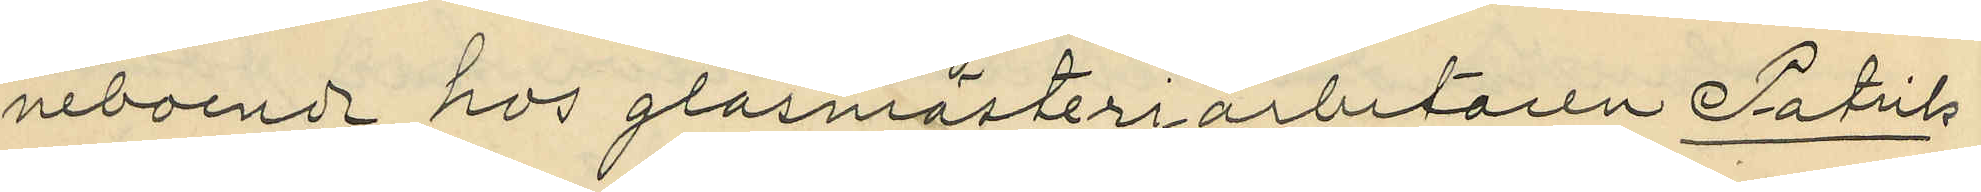neboende hos glasmästeriarbetaren Patrik
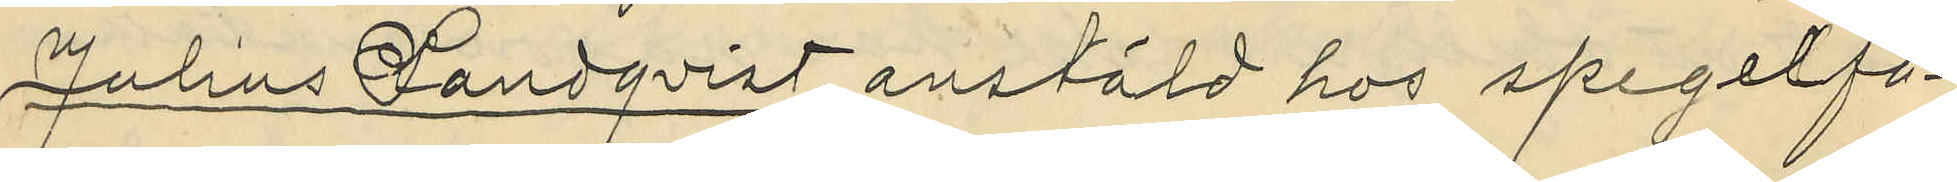Julius Landqvist, anstäld hos spegelfa¬
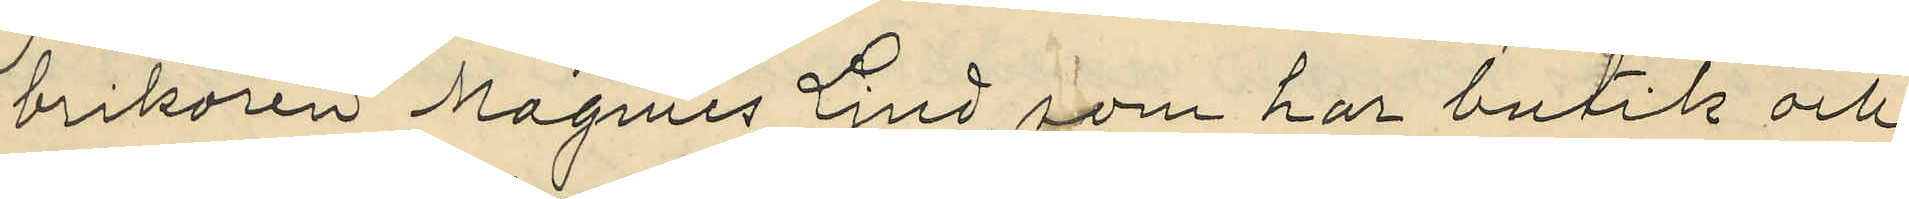brikoren Magnus Lind, som har butik och
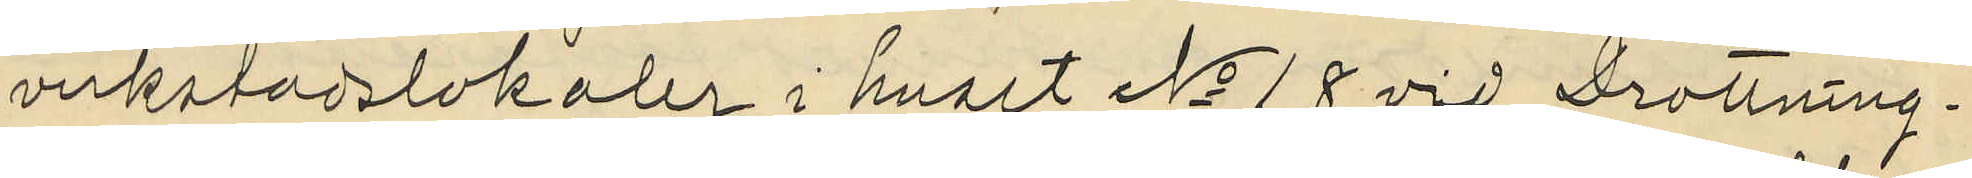verkstadslokaler i huset No 18 vid Drottning¬
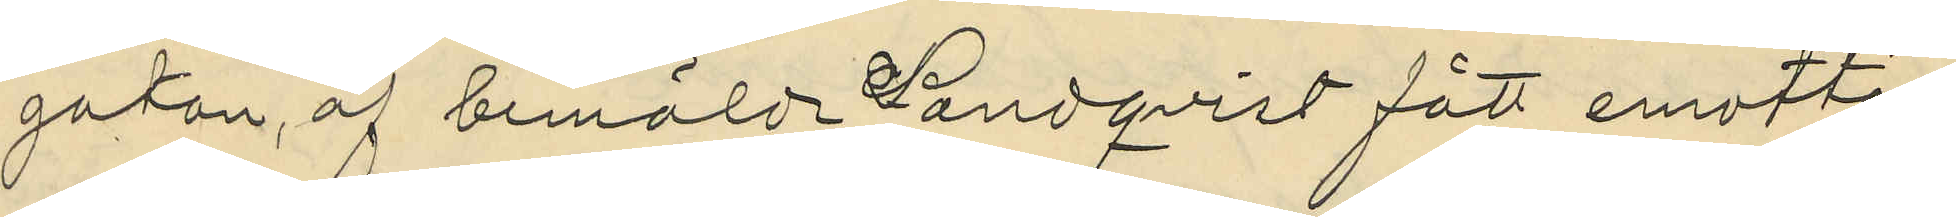gatan, af bemälde Landqvist fått emotta¬
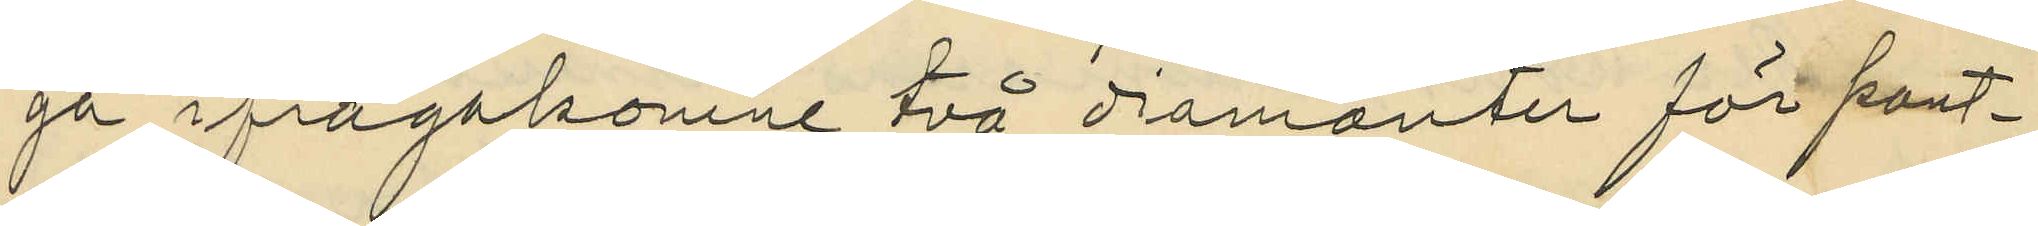ga ifrågakomne två diamanter för pant¬
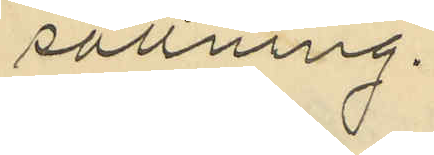sättning.
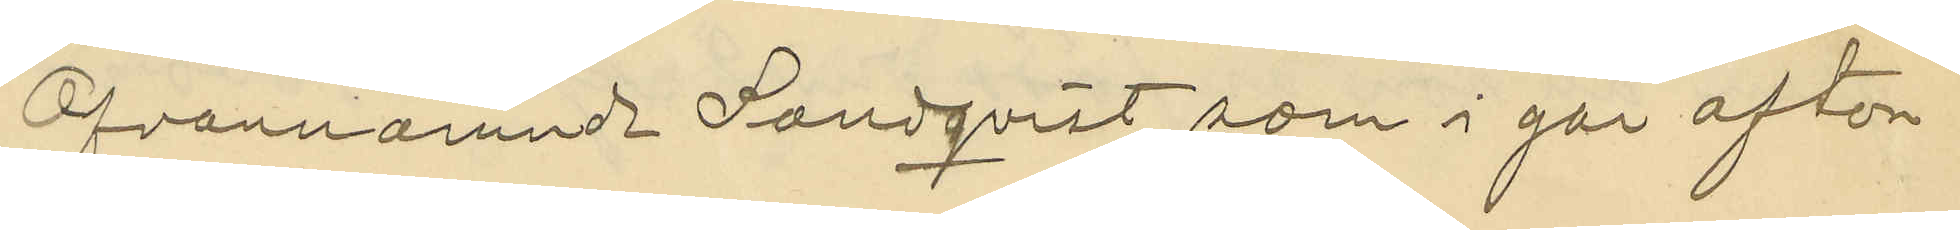Ofvannämnde Landqvist, som i går afton
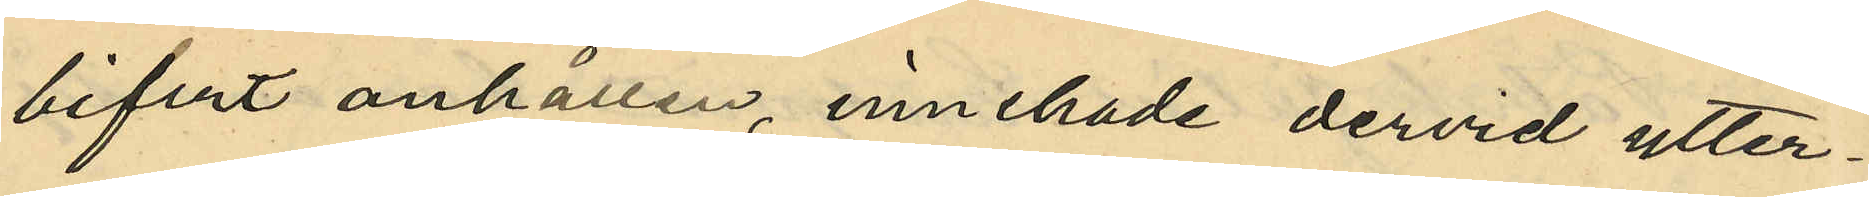bifvit anhållen, innehade dervid ytter¬
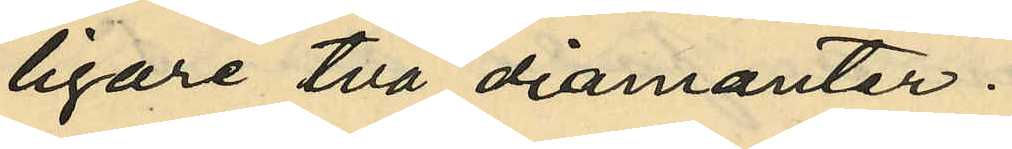ligare två diamanter.
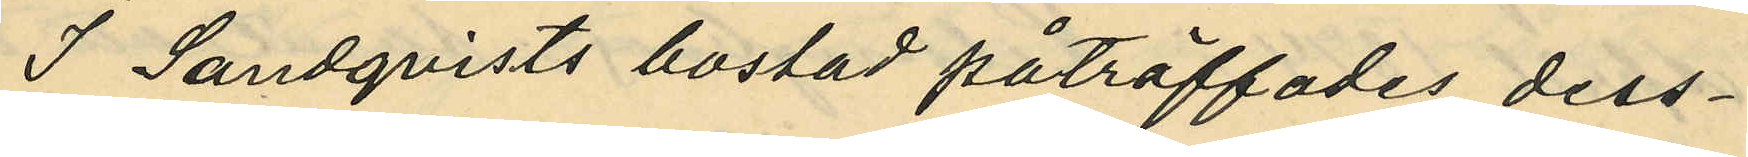I Landqvists bostad påträffades dess¬
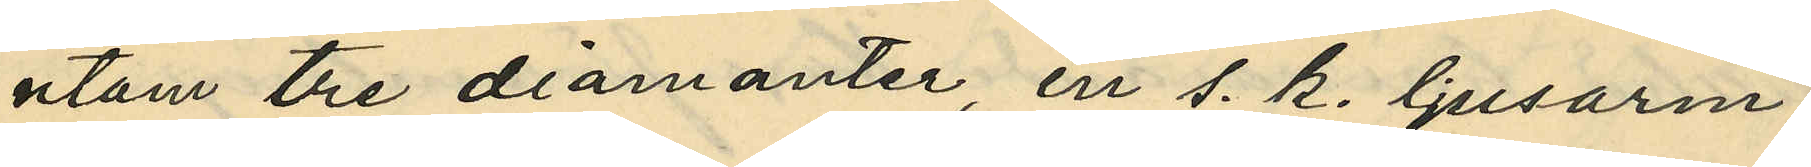utom tre diamanter, en s. k. ljusarm
